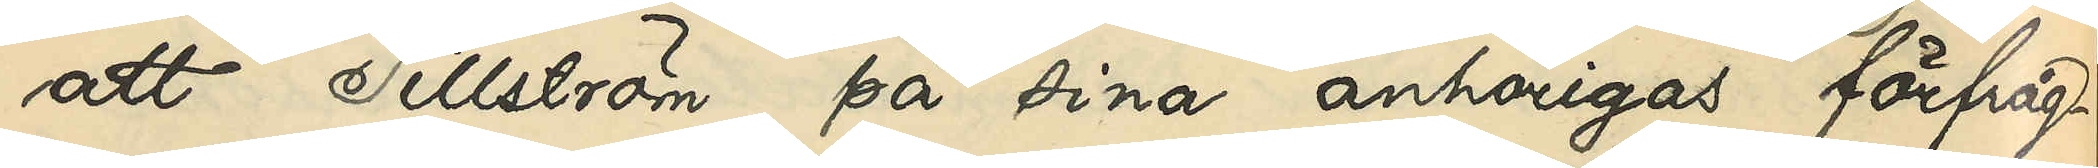att Tillström, på sina anhörigas förfråg¬
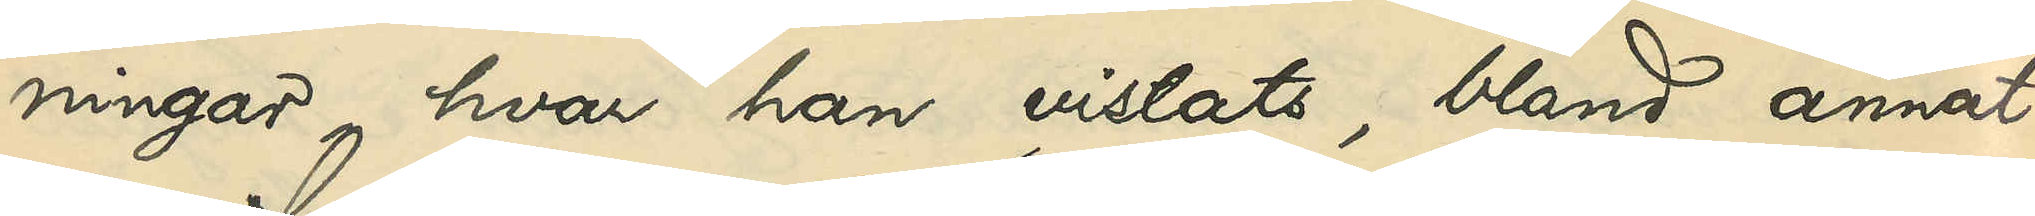ningar, hvar han vistats, bland annat
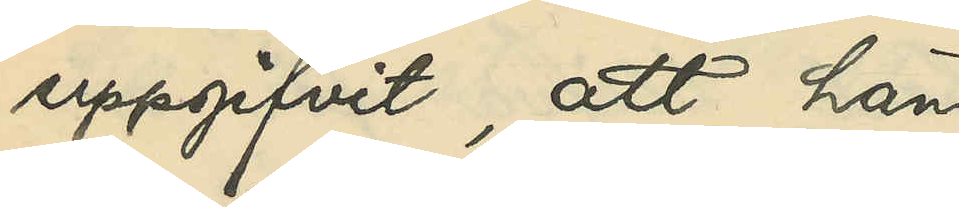uppgifvit, att han
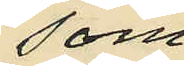som
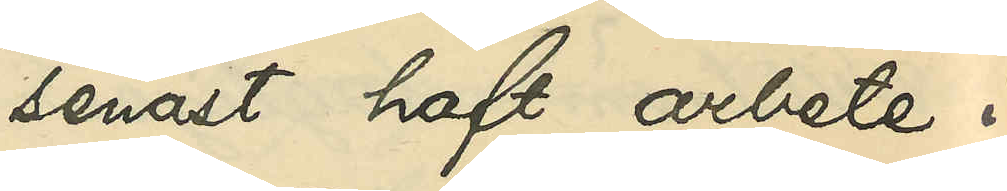senast haft arbete i
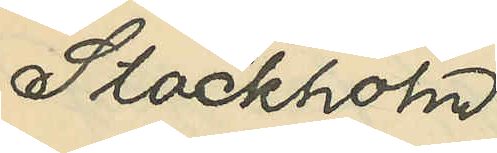Stockholm
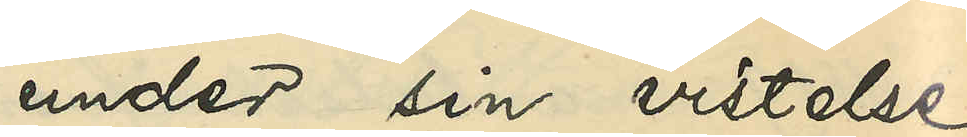under sin vistelse
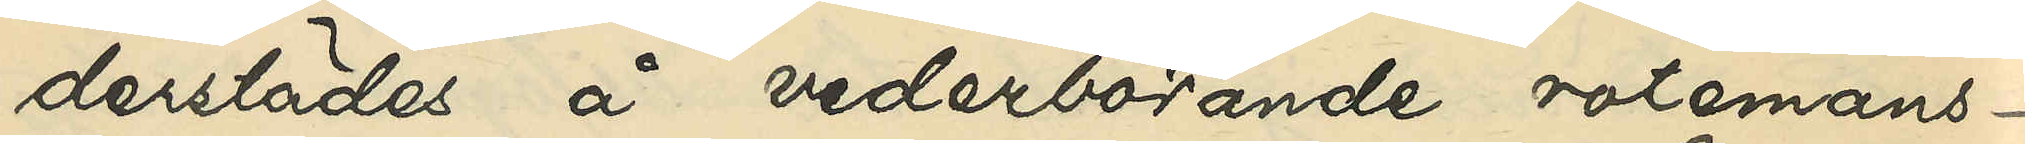derstädes å vederbörande rotemans¬
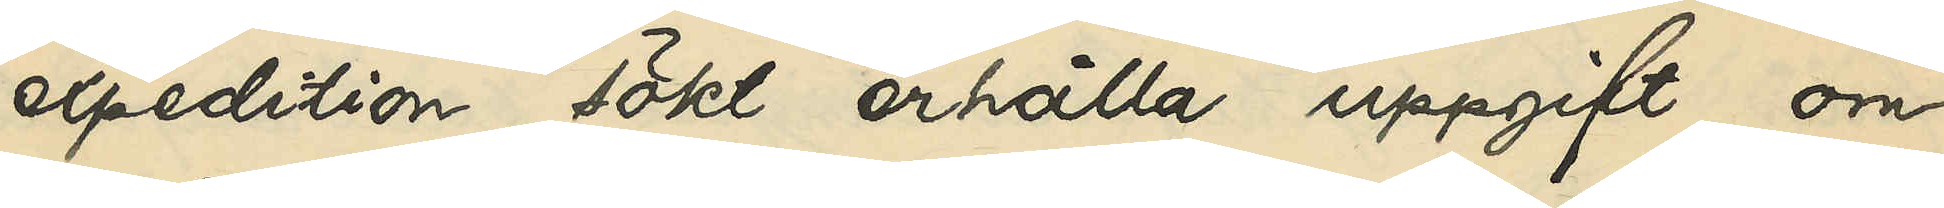expedition sökt erhålla uppgift om
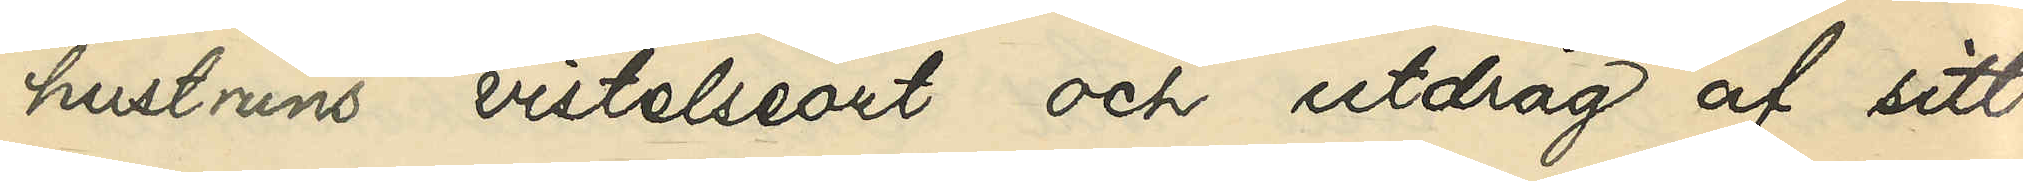hustruns vistelseort och utdrag af sitt
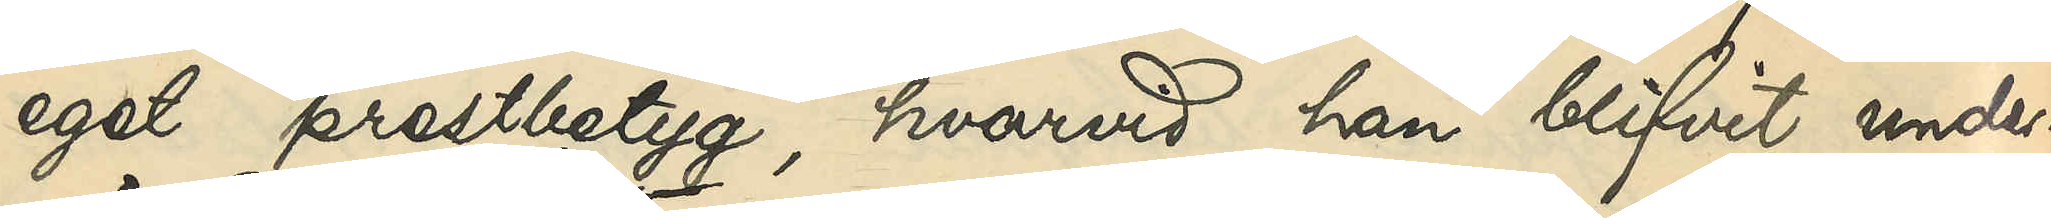eget prestbeytg, hvarvid han blifvit under¬
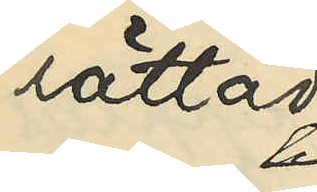rättad
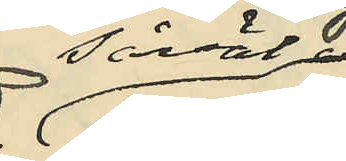såväl
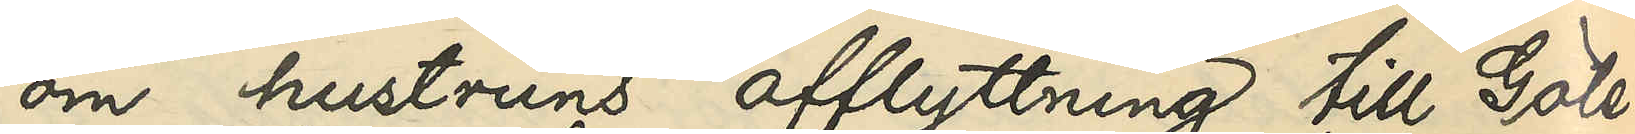om hustruns afflyttning till Göte¬
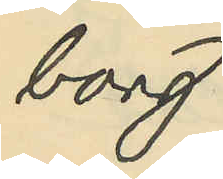borg
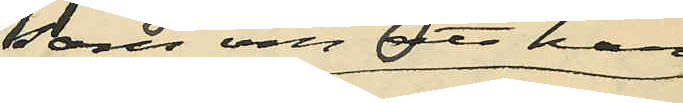som och att hon
